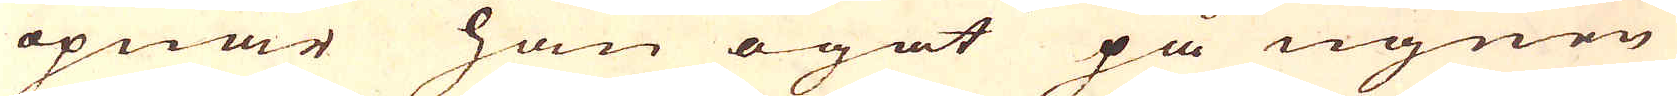öpnar han ögat på ugnen
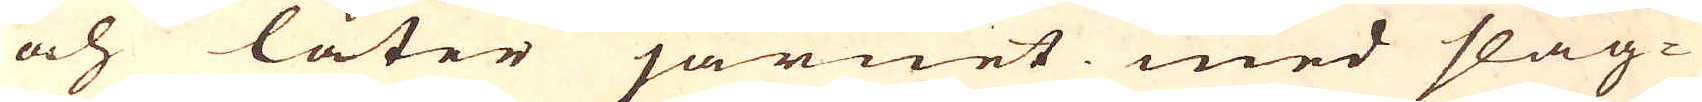och låter järnet med slag-
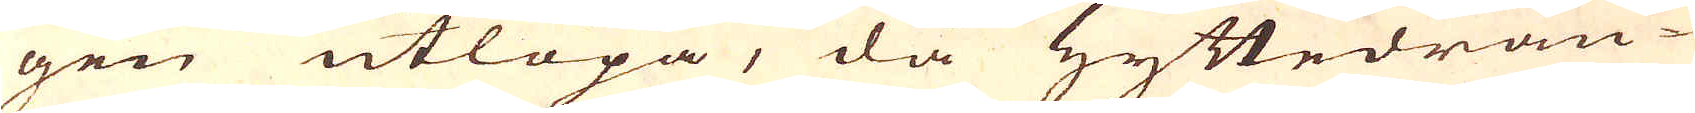gen utlöpa, då Hyttedrän-
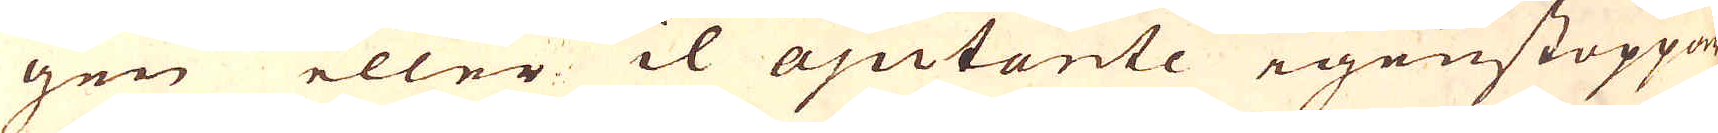gen eller il ajutante igenstoppar
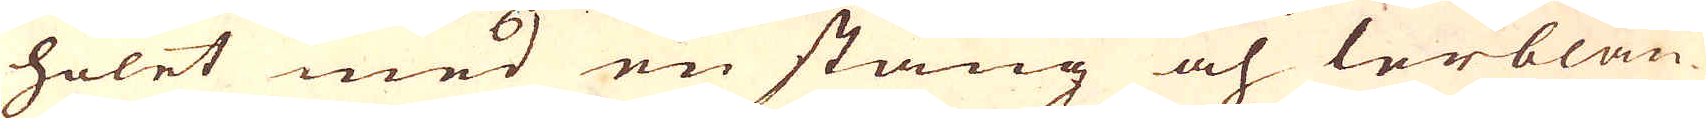holet med en stång och lerblan-
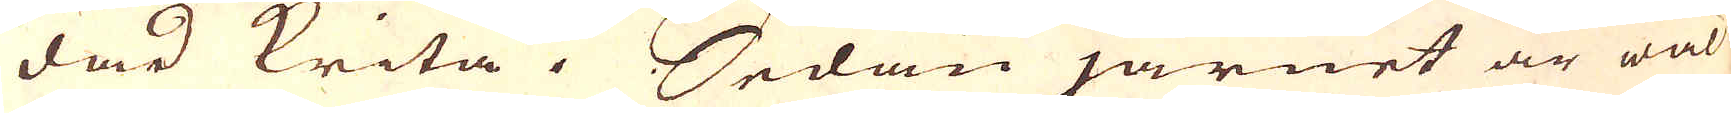dad krita. Sedan järnet är wäl
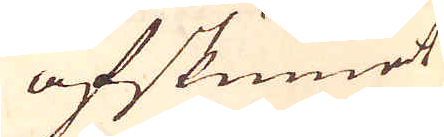afskummet
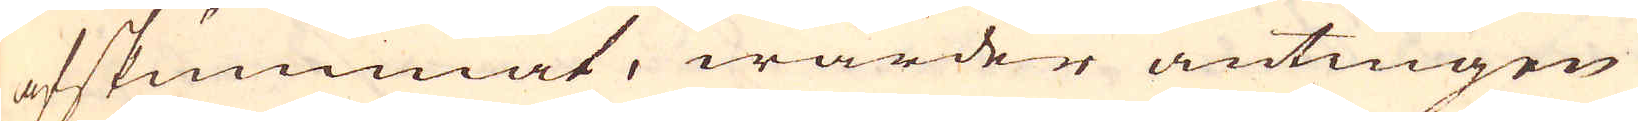afskummat, warder antingen
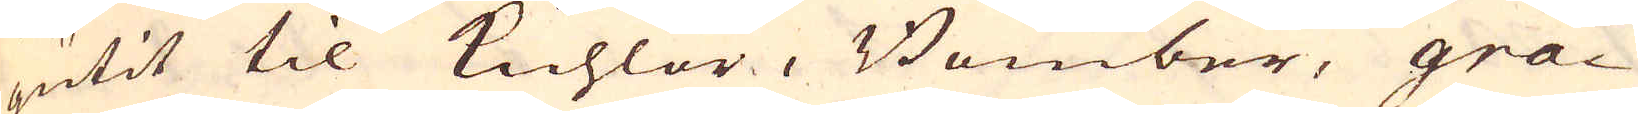gutit til Kuhlor, Bomber, gra-
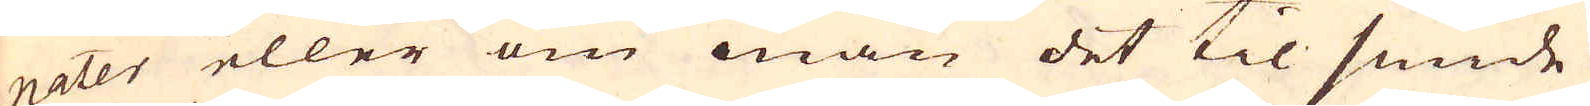nater eller om man det til smide
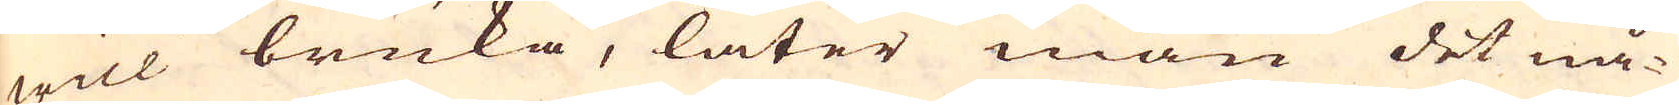will bruka, låter man det nå-
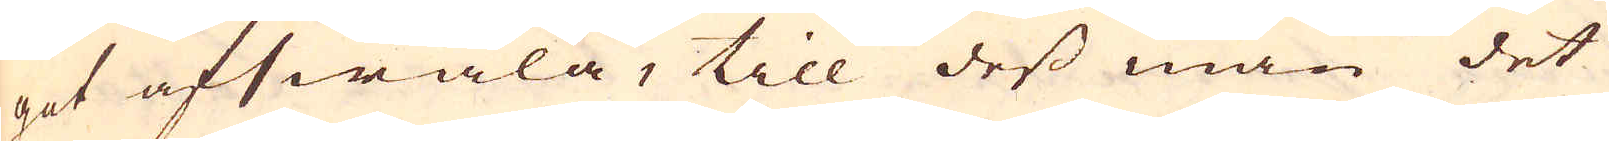got afswala, till dess man det
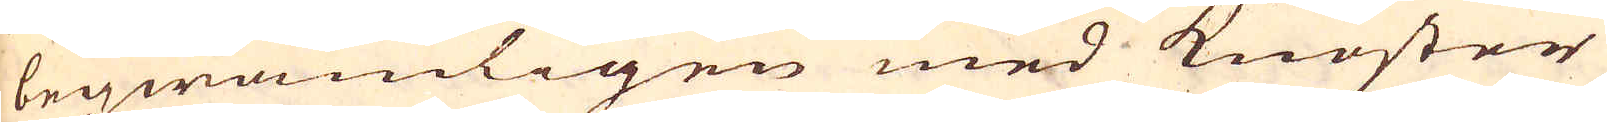beqwämligen med kunster
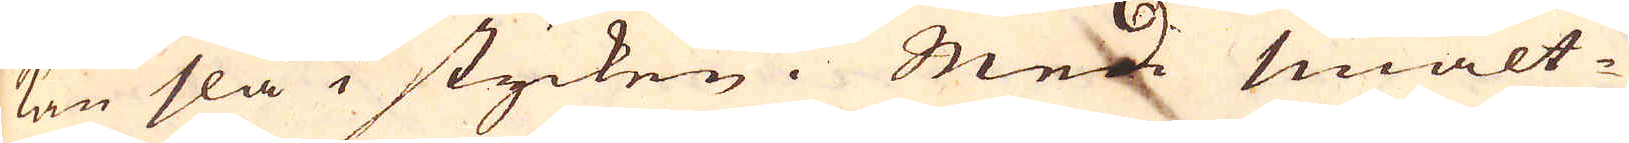kan slå i stycken. Med smält-
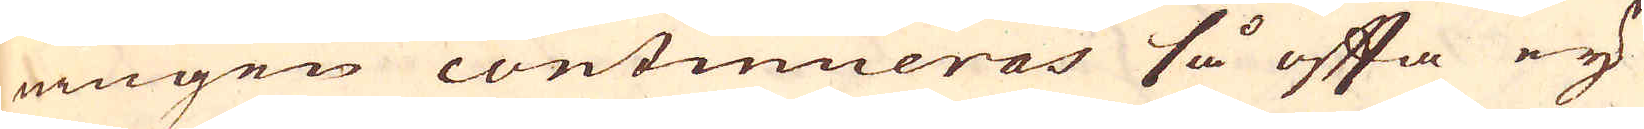ningen continueras så ofta eij
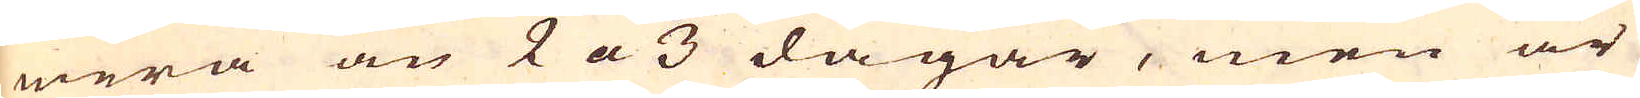mera än 2 a 3 dagar, men är
